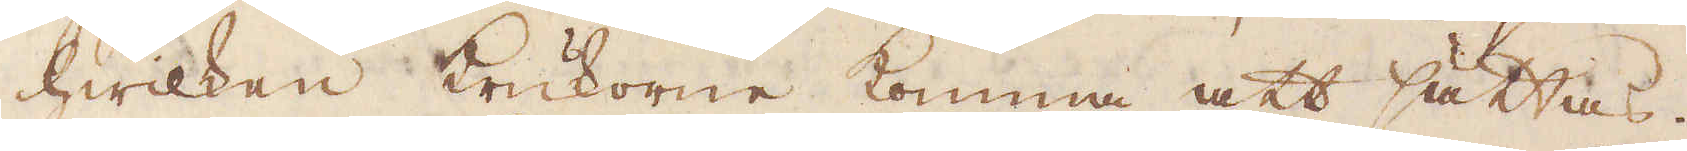hwilken krukorne komma att sättas.
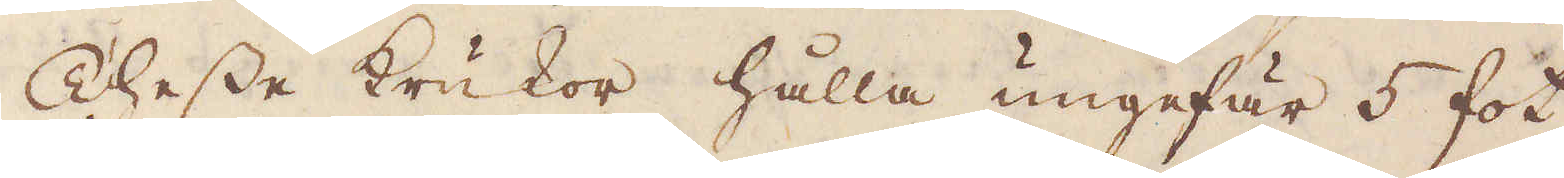Thesse krukor hålla ungefär 5 fot
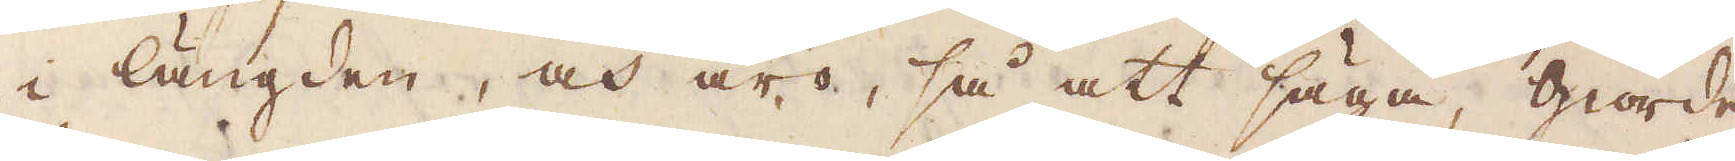i längden, och äro, så att säga giorde
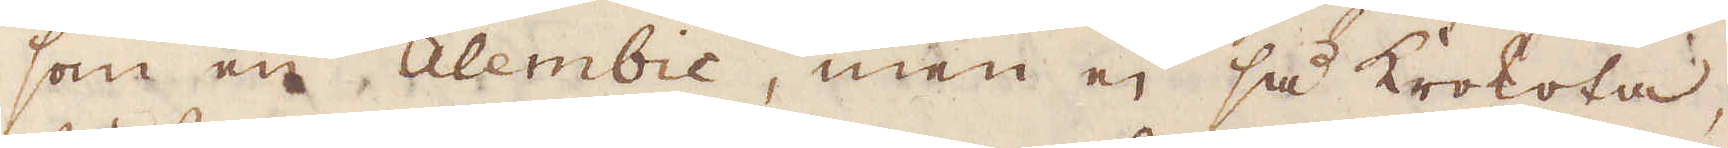som en Alembic, men ej så krokota,
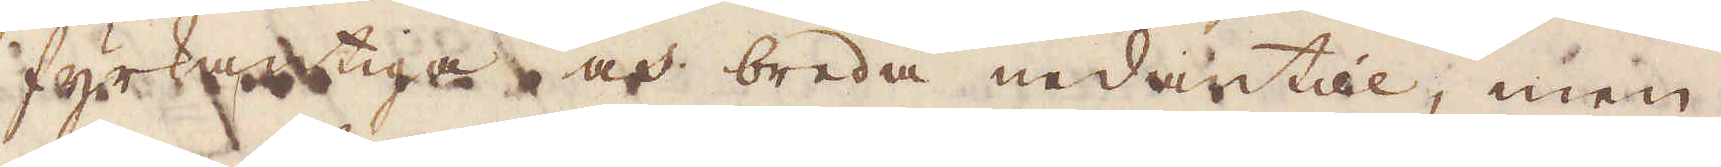fyrkantiga och breda nedantill, men
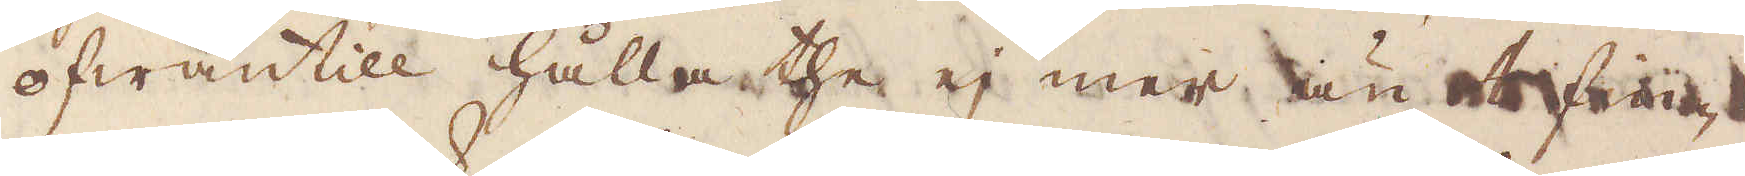ofwantill hålla the ej mer än et fin-
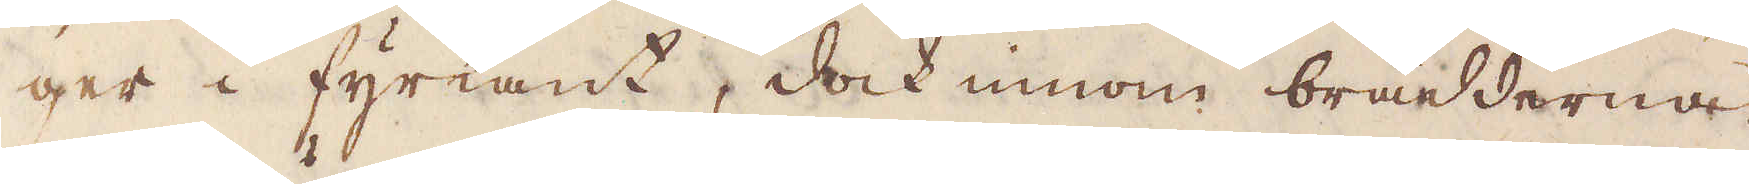ger i fyrkant, dock innom brädderna.
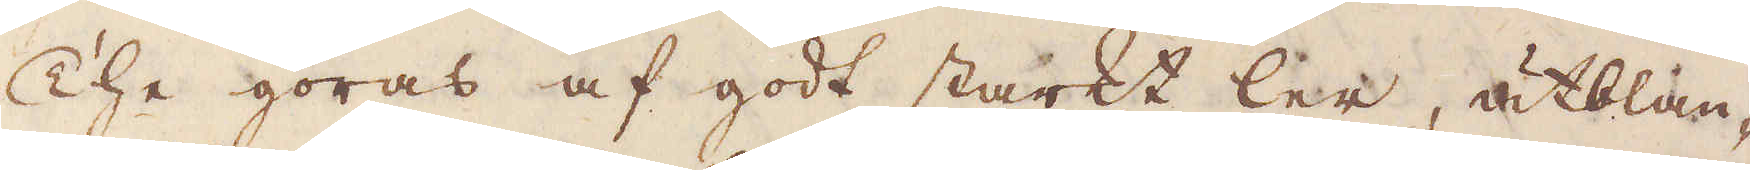The göras af godt starkt ler, utblan-
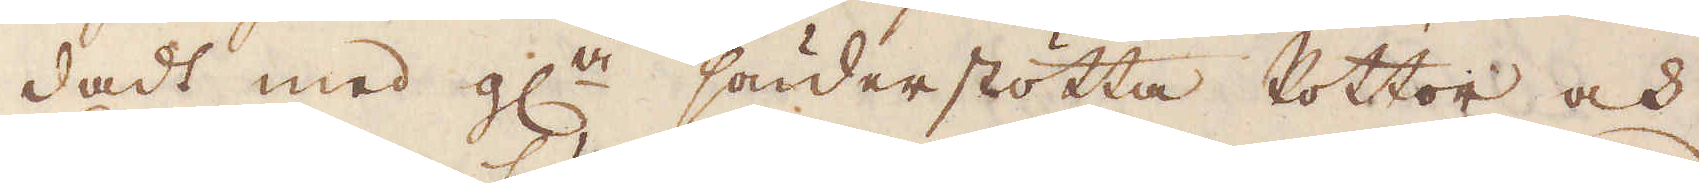dadt med gl:a sönderstötta Pottor och
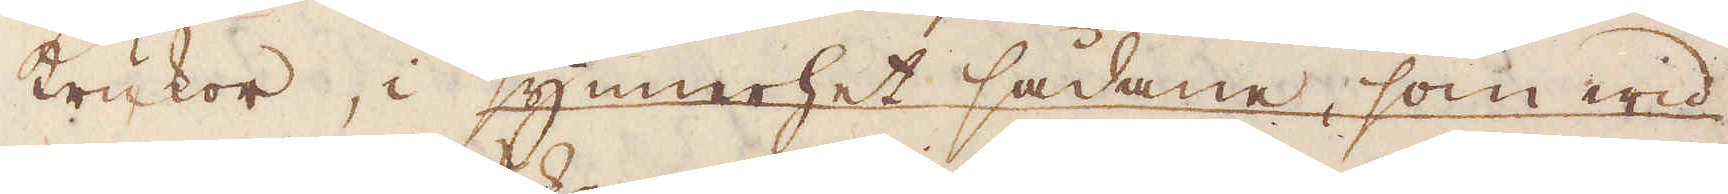krukor, i synnerhet sådane, som wid
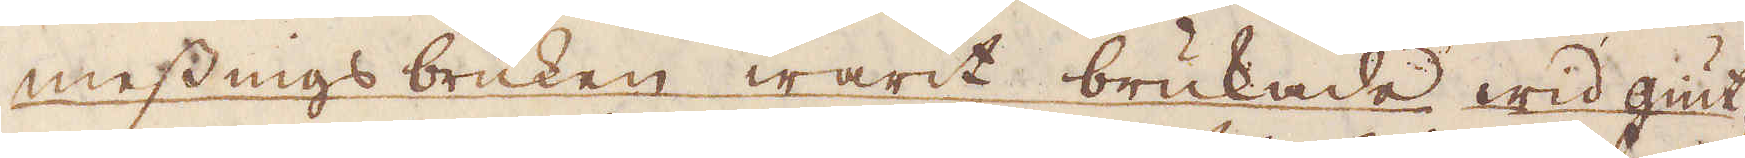messingsbruken warit brukade wid giut-
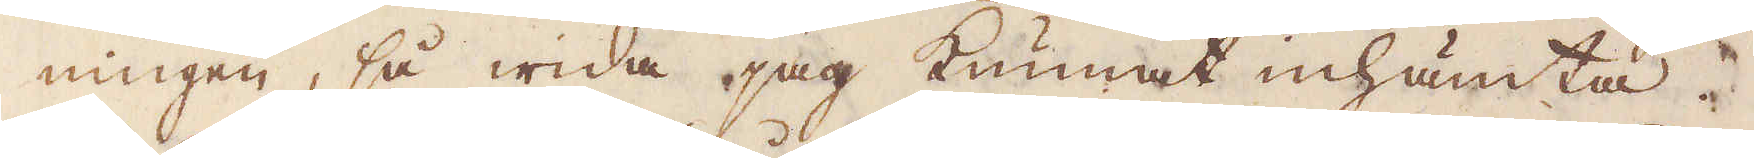ningen, så wida jag kunnat inhämta.
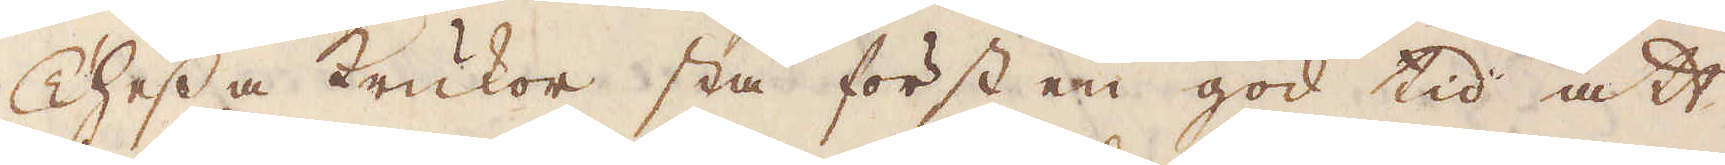Thessa krukor stå först en god tid att
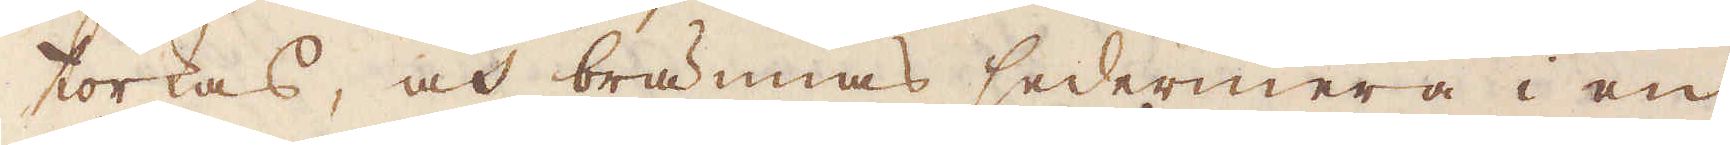torkas, och brännas sedermera i en
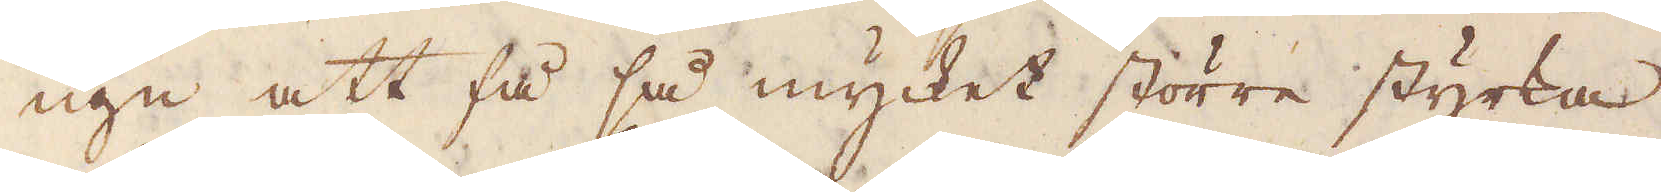ugn att få så mycket större styrka.
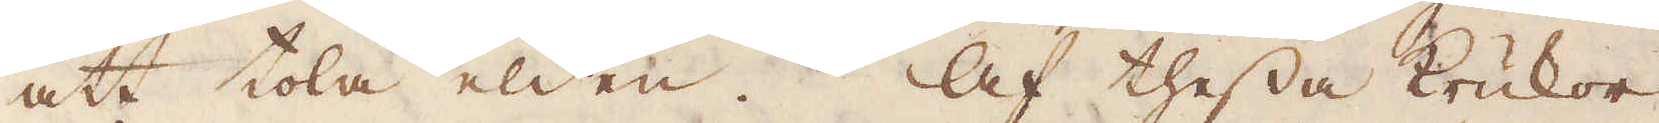att tola elden. Af thessa krukor
